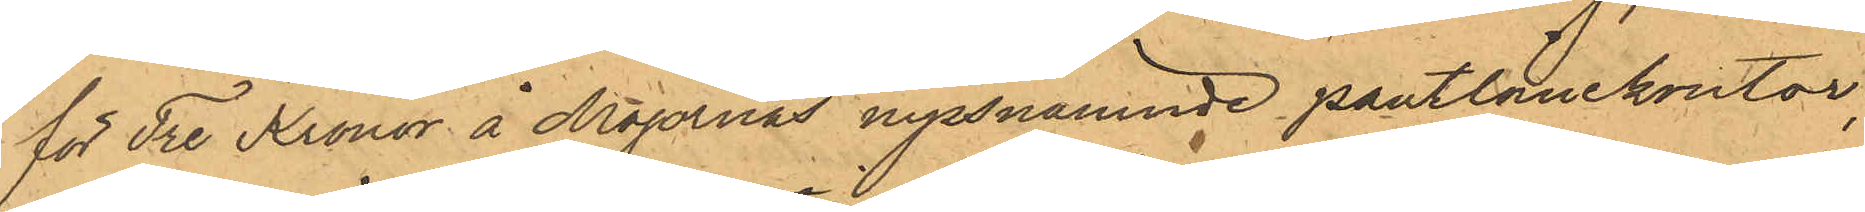för Tre Kronor å Majornas nyssnämnde pantlånekontor;
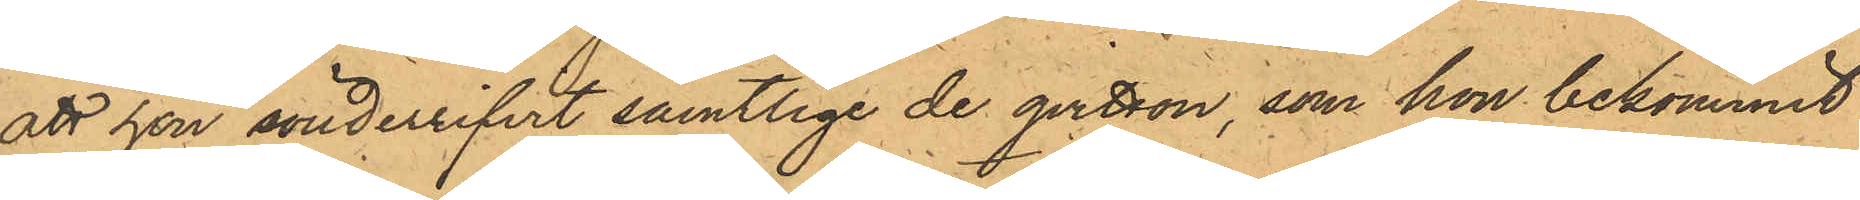att hon sönderrifvit samtlige de qvitton, som hon bekommit
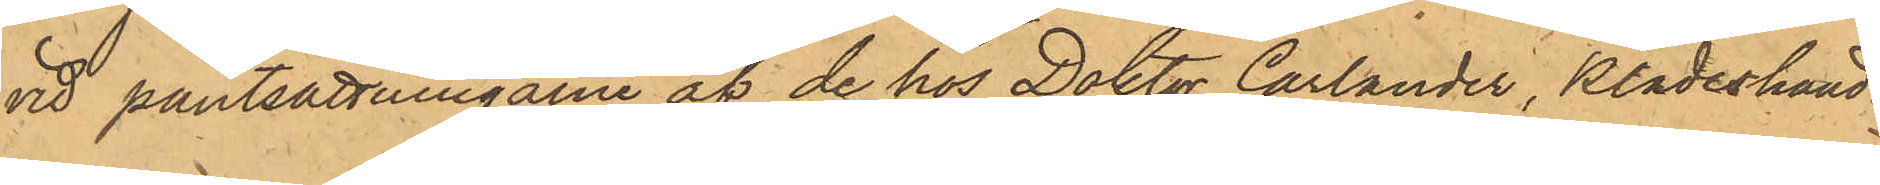vid pantsättningarne af de hos Doktor Carlander, klädeshand¬
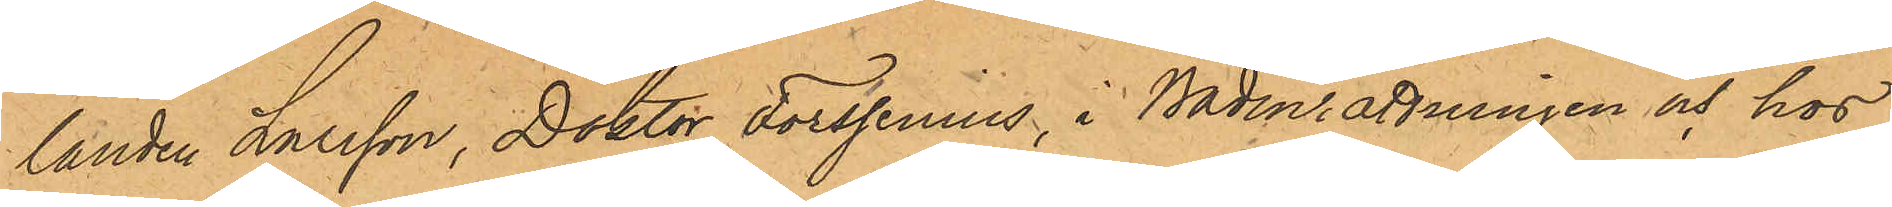landen Larsson, Doktor Forssenius, i Badinrättningen och hos
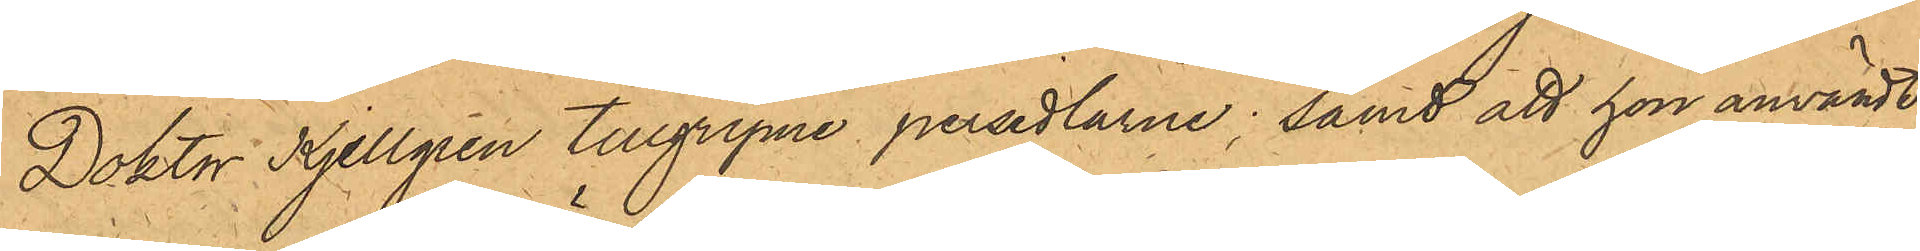Doktor Kjellgren tillgripne persedlarne; samt att hon användt
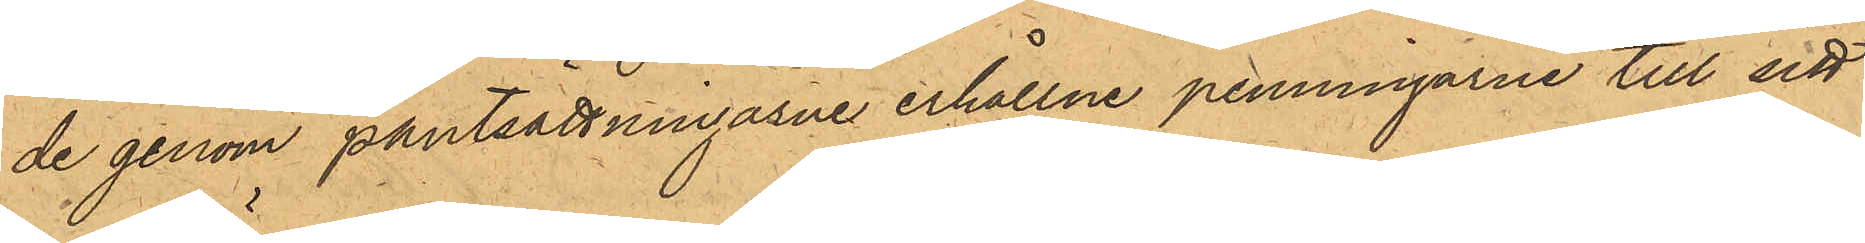de genom pantsättningarne erhållne penningarne till sitt
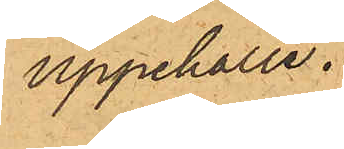uppehälle.
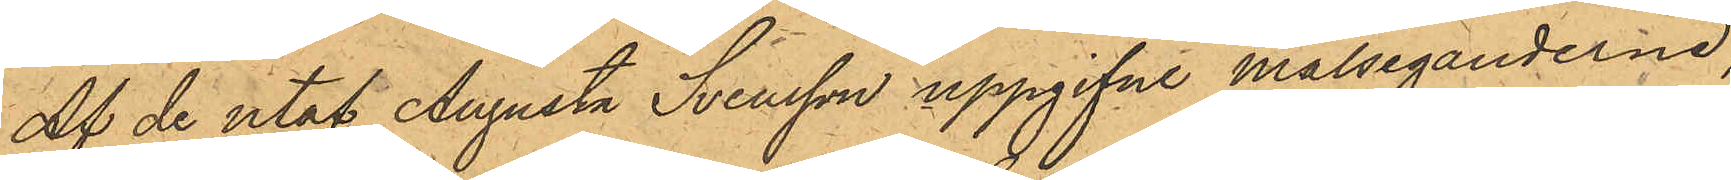Af de utaf Augusta Svensson uppgifne målseganderne,
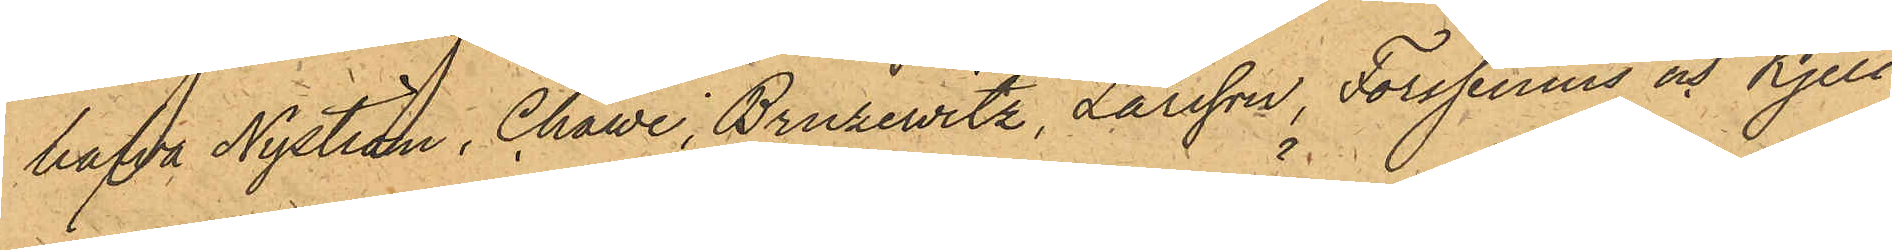hafva Nyström, Chawe, Brusevitz, Larsson, Forssenius och Kjell¬
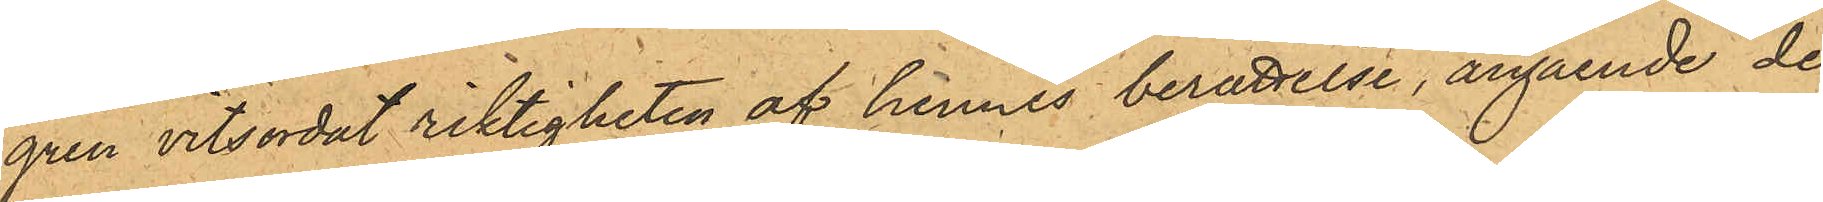gren vitsordat riktigheten af hennes berättelse, angående de
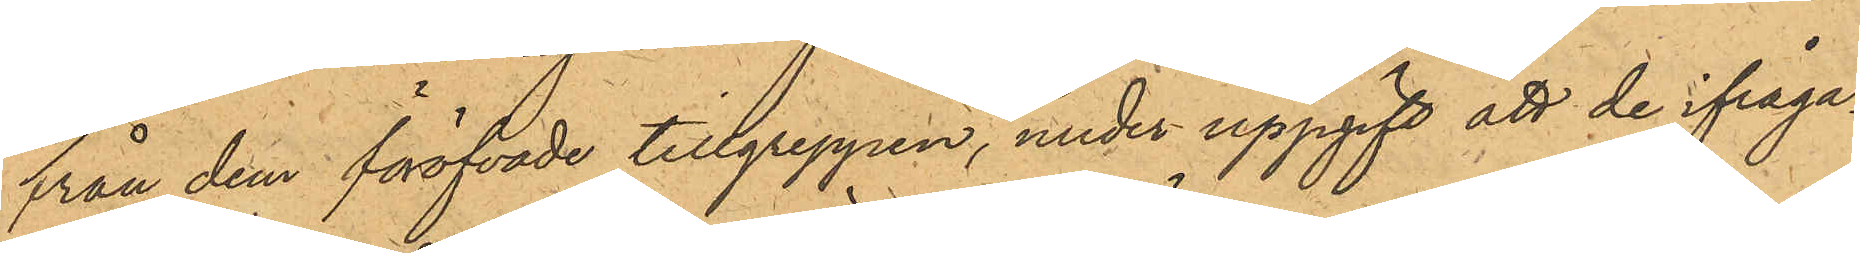från dem föröfvade tillgreppen, under uppgift att de ifråga¬
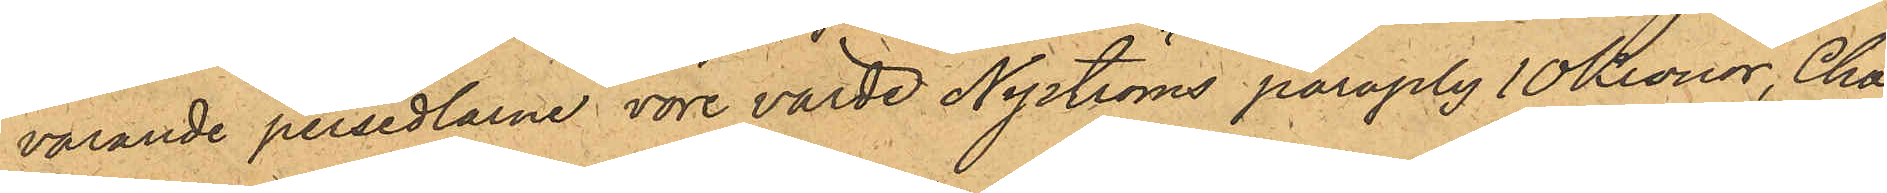varande persedlarne vore värde Nyströms paraply 10 Kronor, Cha¬
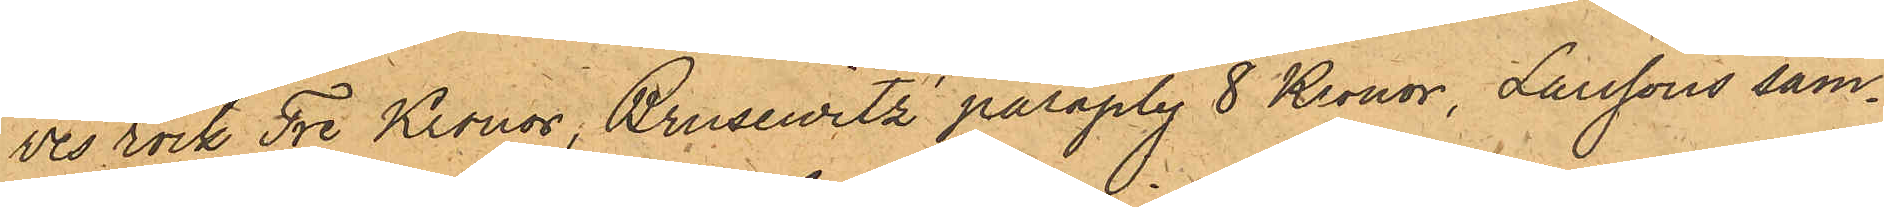ves rock Tre Kronor, Brusewitz' paraply 8 Kronor, Larssons sam¬
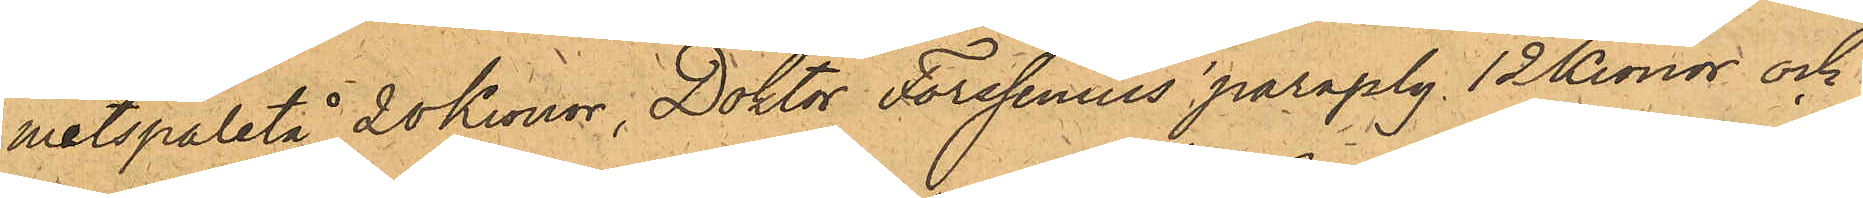metspaletå 20 Kronor, Doktor Forssenius paraply 12 Kronor och
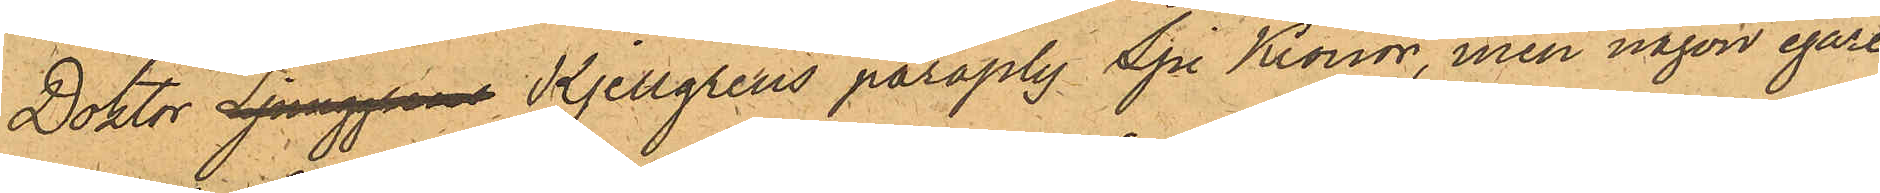Doktor Ljunggrens Kjellgrens paraply Sju Kronor, men någon egare
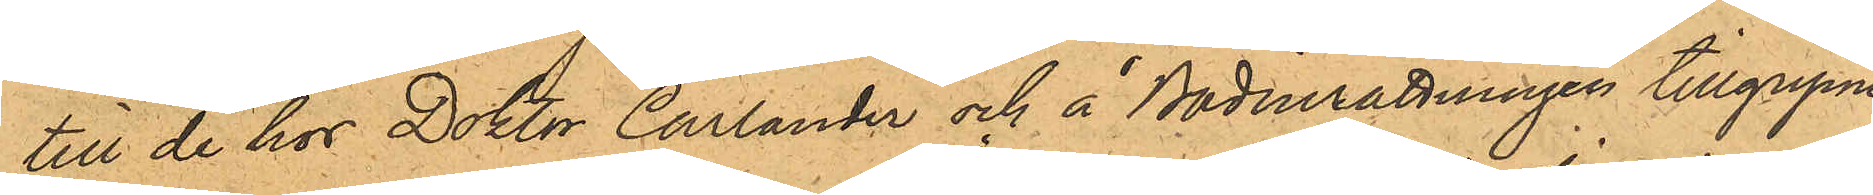till de hos Doktor Carlander och å Badinrättningen tillgripne
